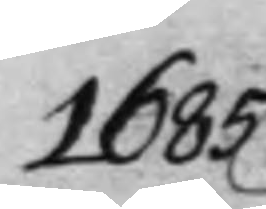1685
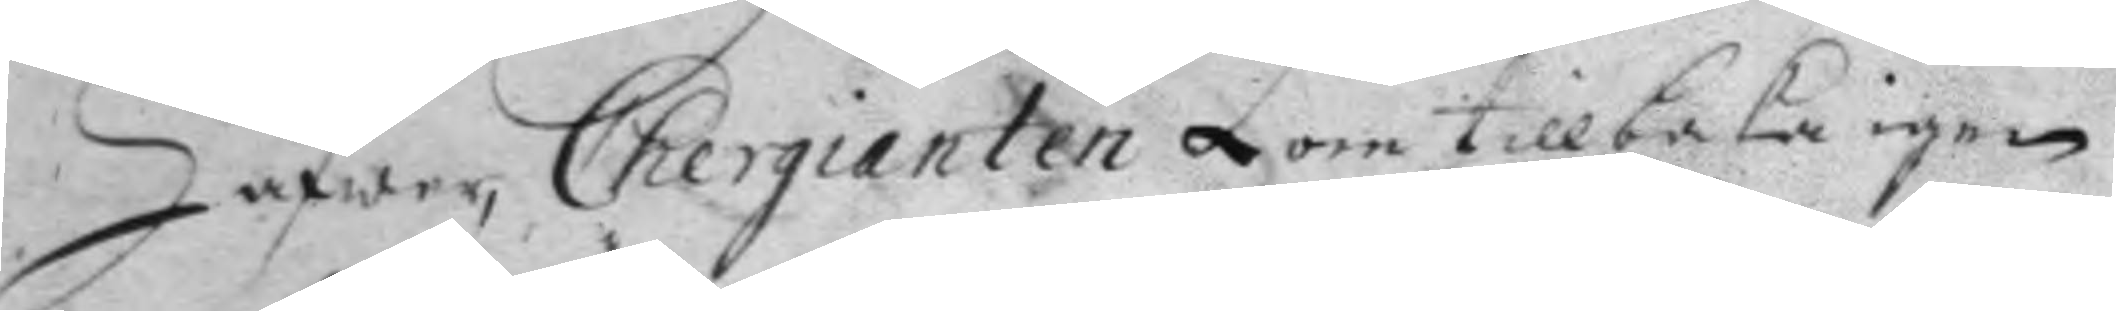Hafwer, Chergianten Zorn tillbaka igen
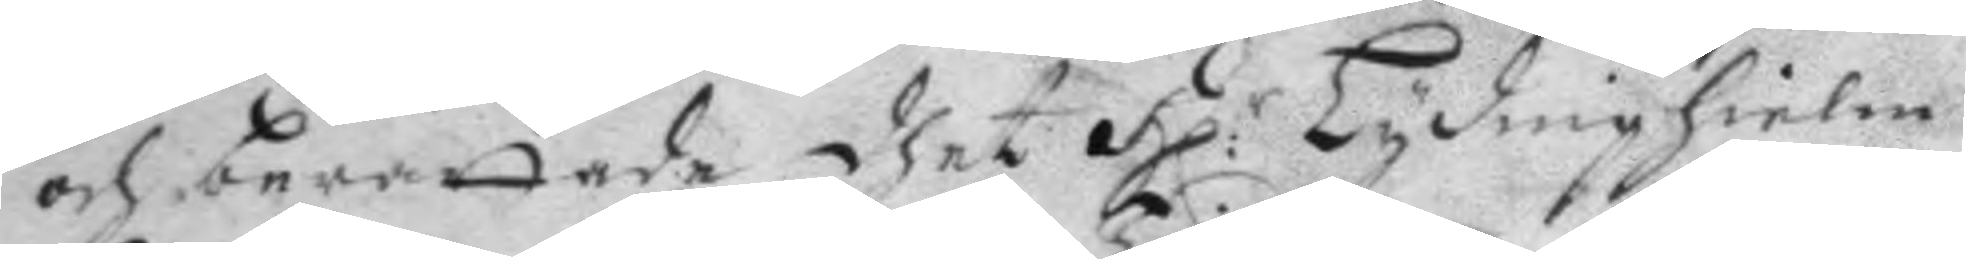och berättade dhet H:r Lydinghielm 
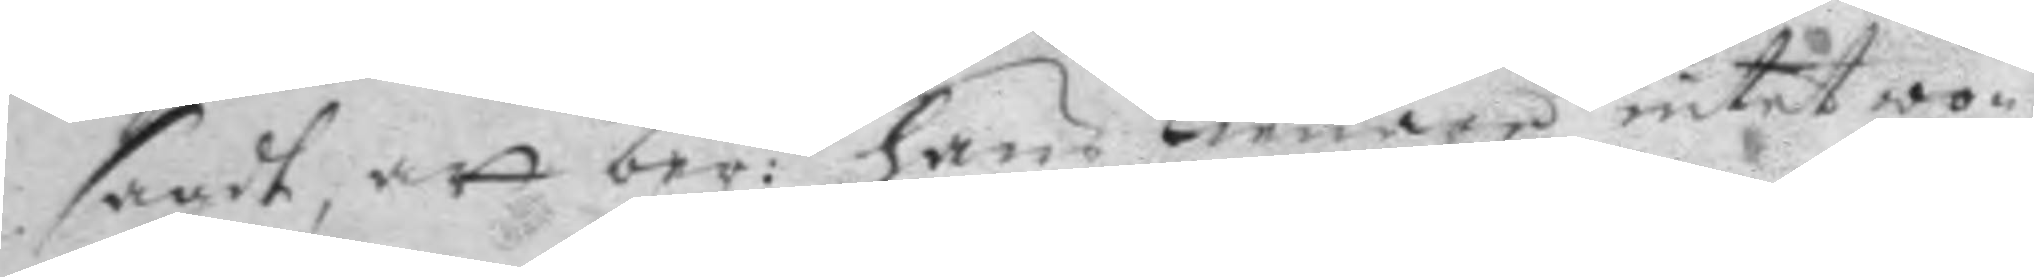sagdt, att ber:d hans Tienare intet wo¬ 
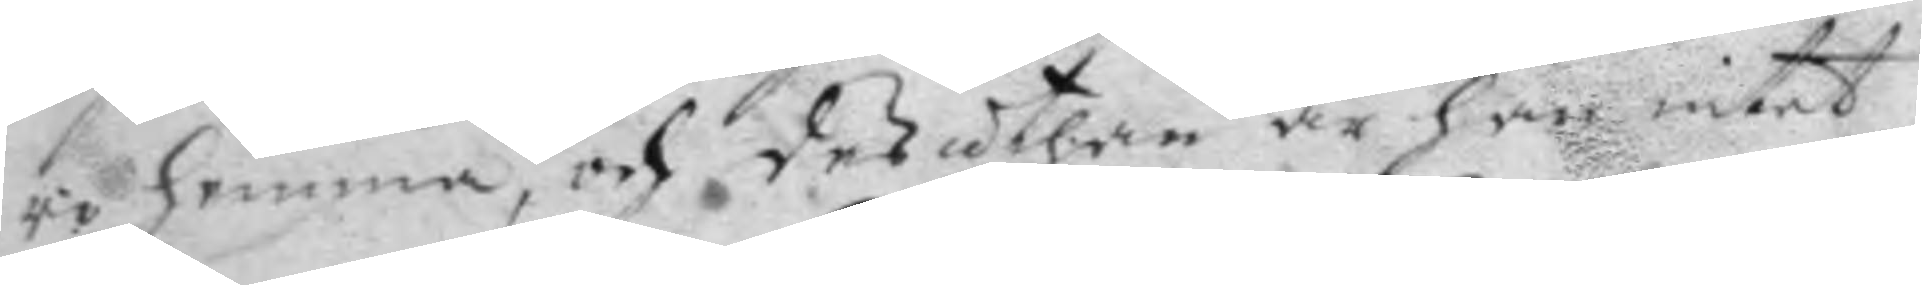ro hemma, och desuthan är han intet
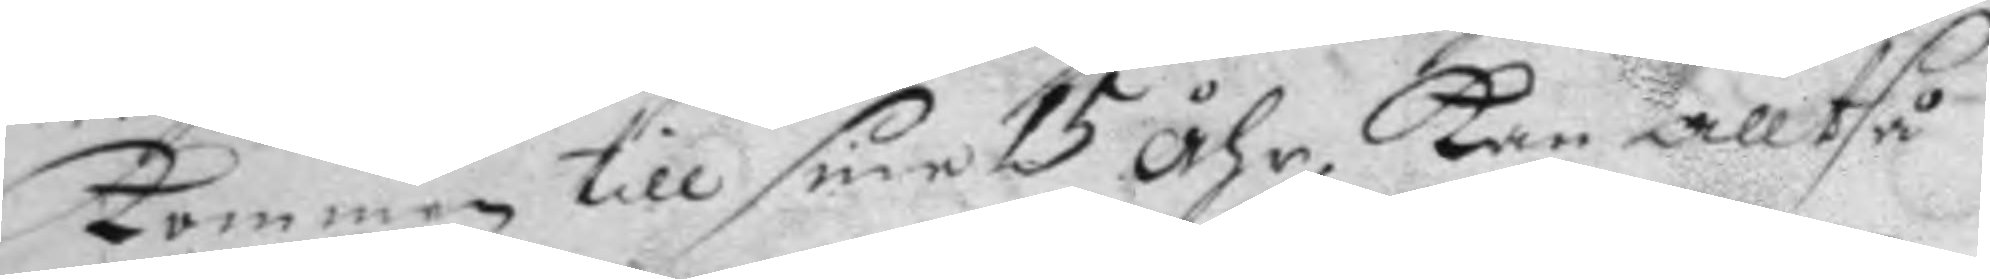Kommen till sine 15 åhr, Kan alltså
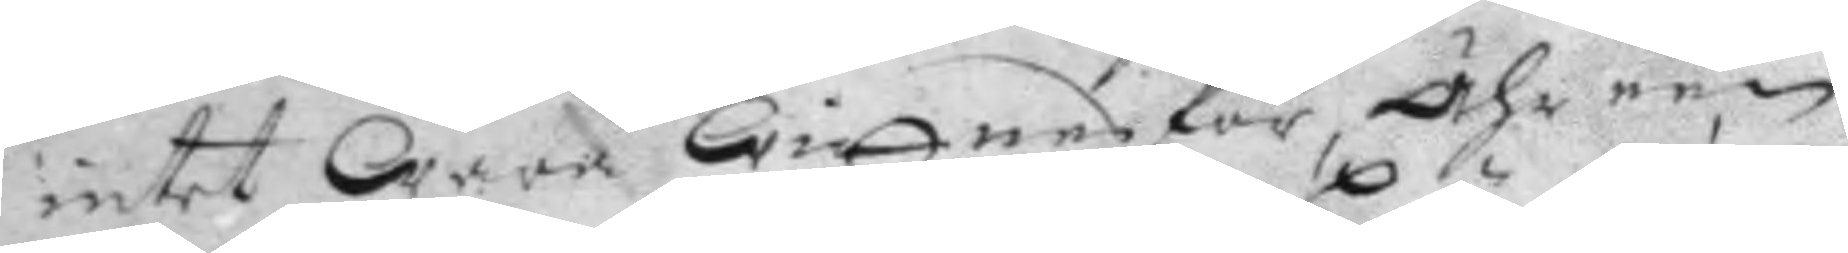intet Wara Wittnesför, Ähr een
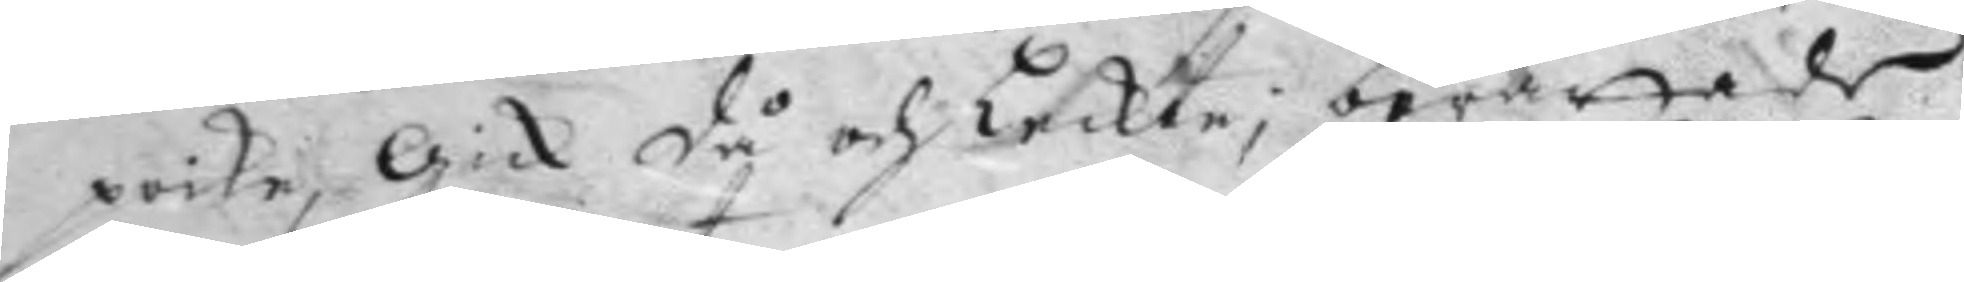poike, Gick då och Leckte; berättade
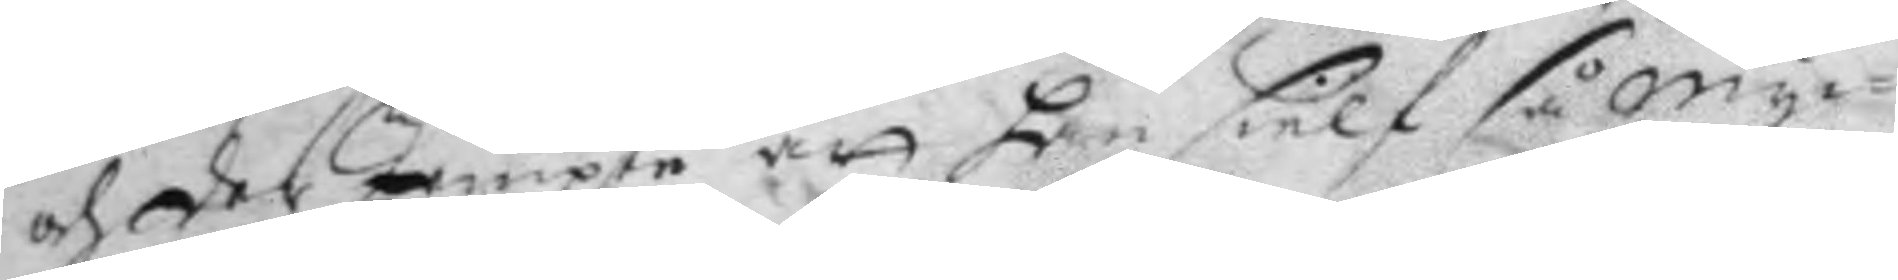och der Jempte att han sielf så Myc¬
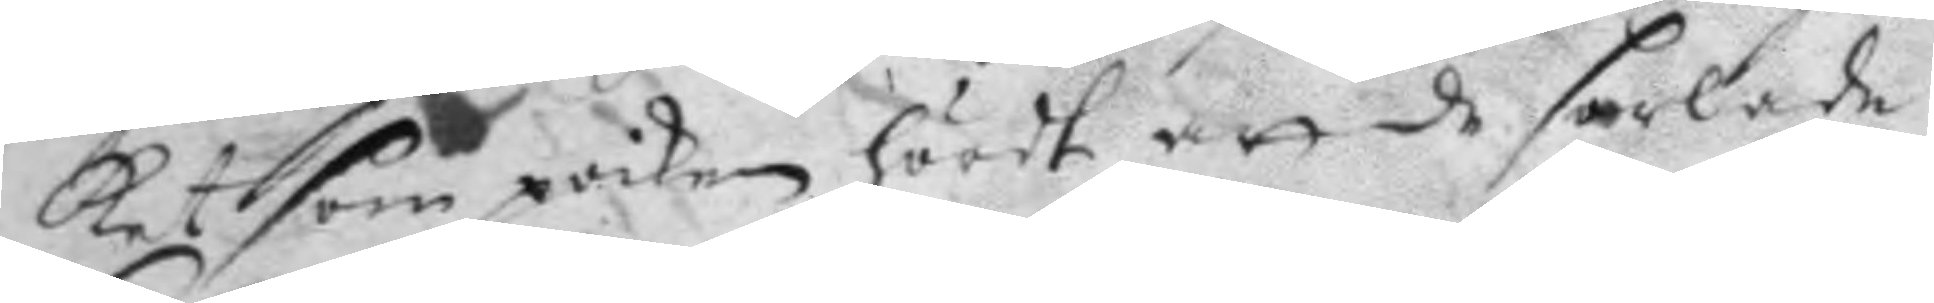ket som poiken hördt att de sorlade
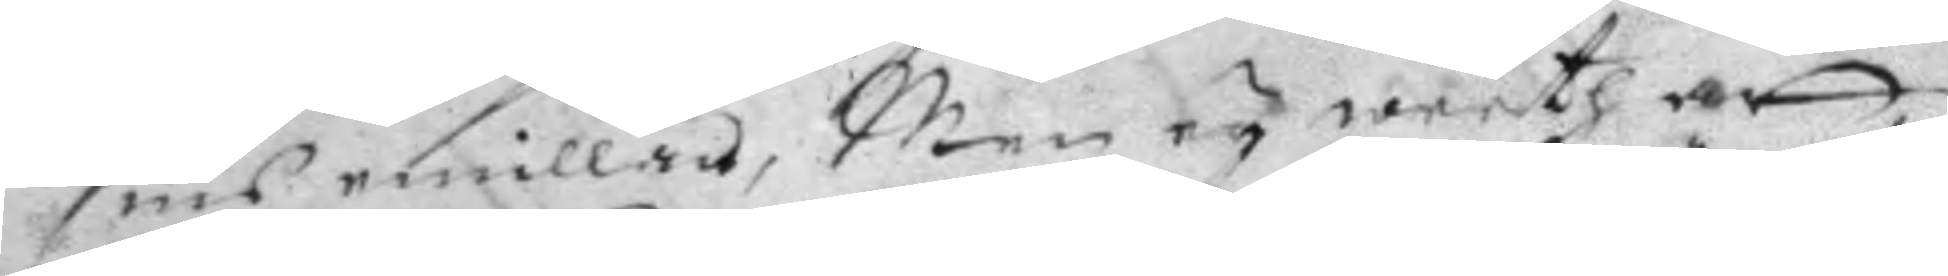sins emillan, Men ey weeth att
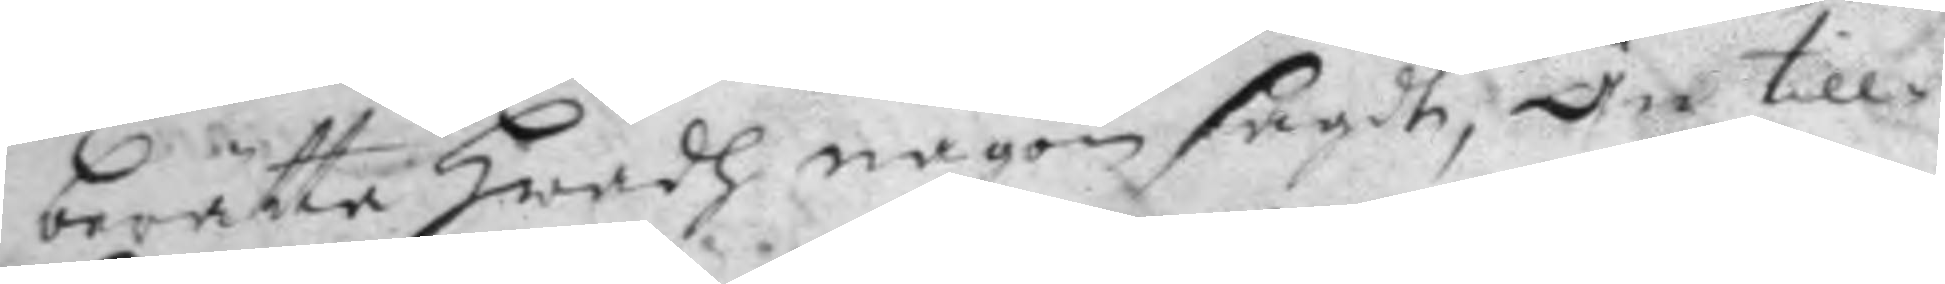berätta hwadh någon sagdt; Än till¬
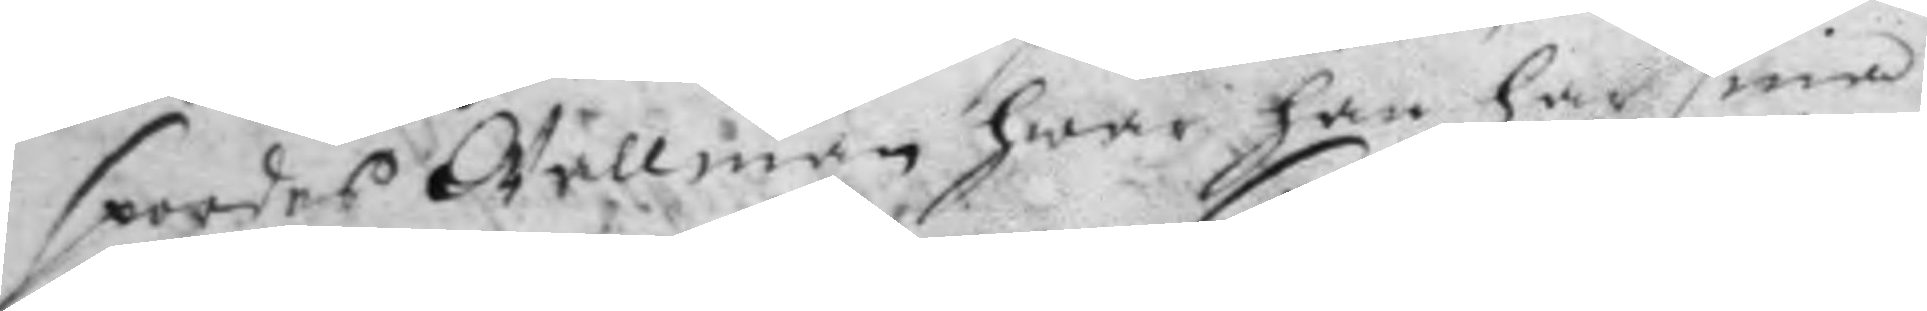spordes Wellmän hwar han har sine
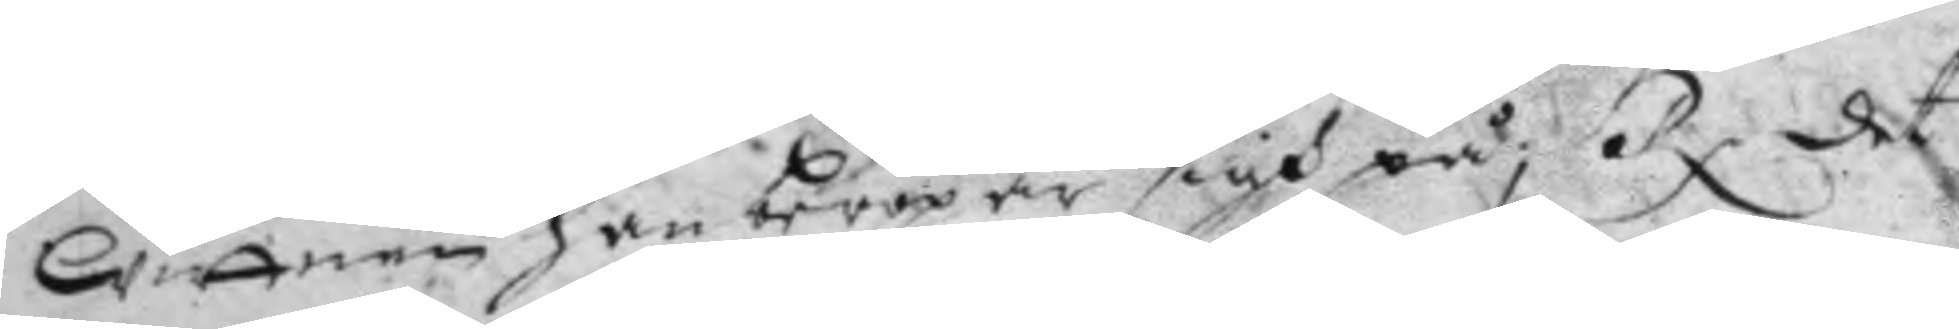Wittnen han beropar sigh på; Rx det 
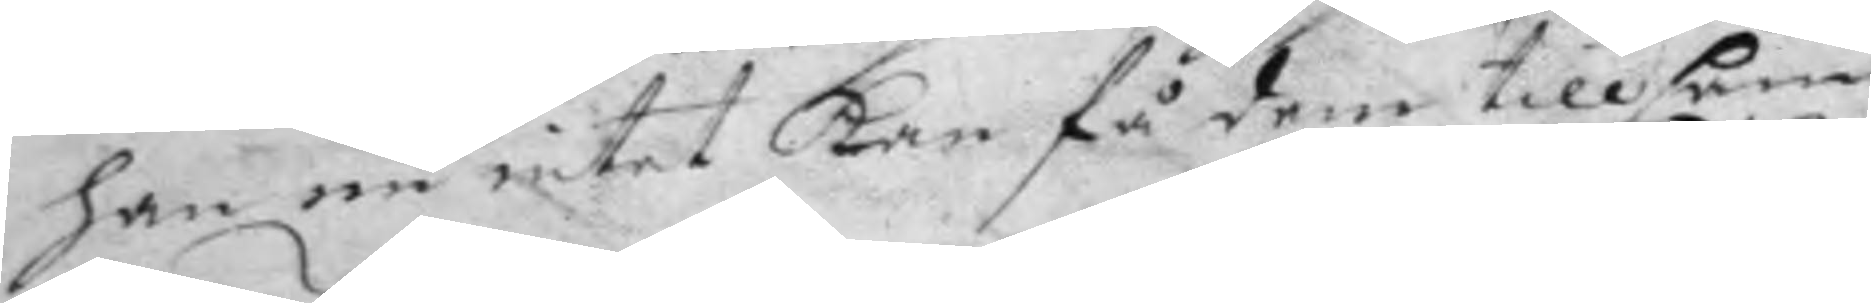han nu intet Kan få dem tillsam¬
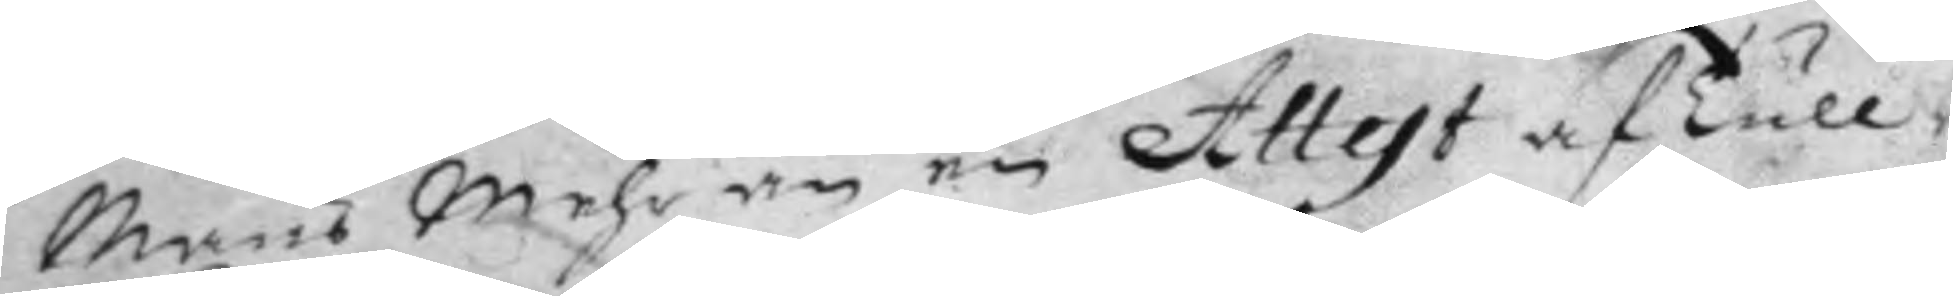Mans Mehr än en Attest af Tull¬
